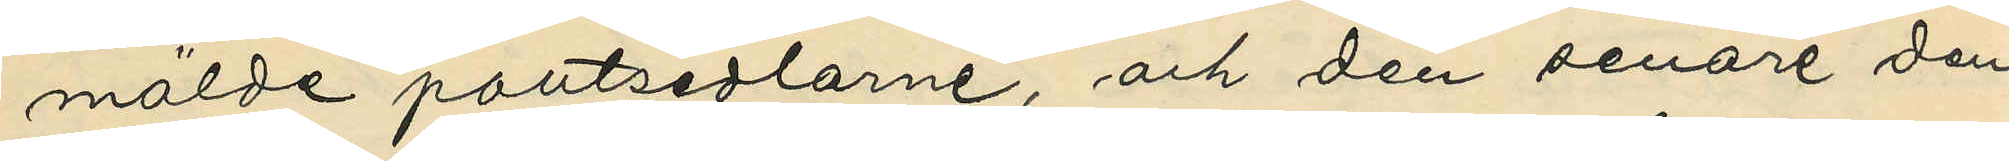mälde pantsedlarne, och den senare den
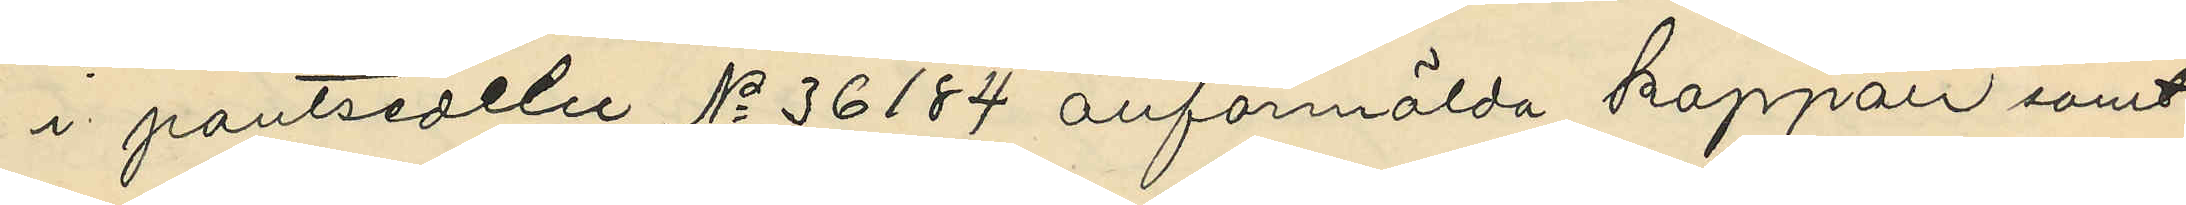i pantsedeln No 36184 anförmälda kappan samt
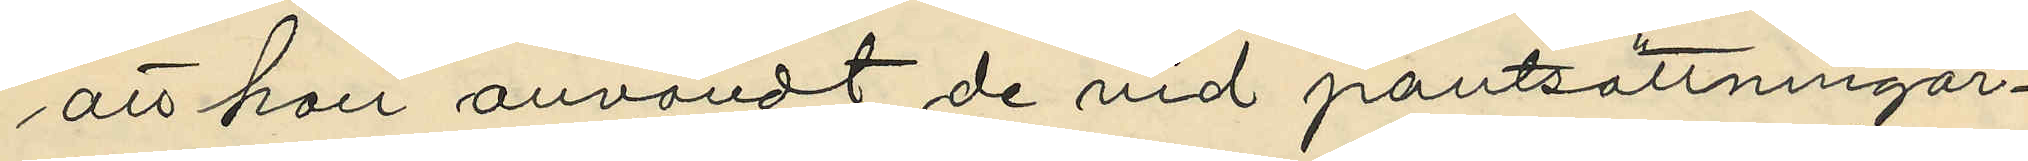att hon användt de vid pantsättningar¬
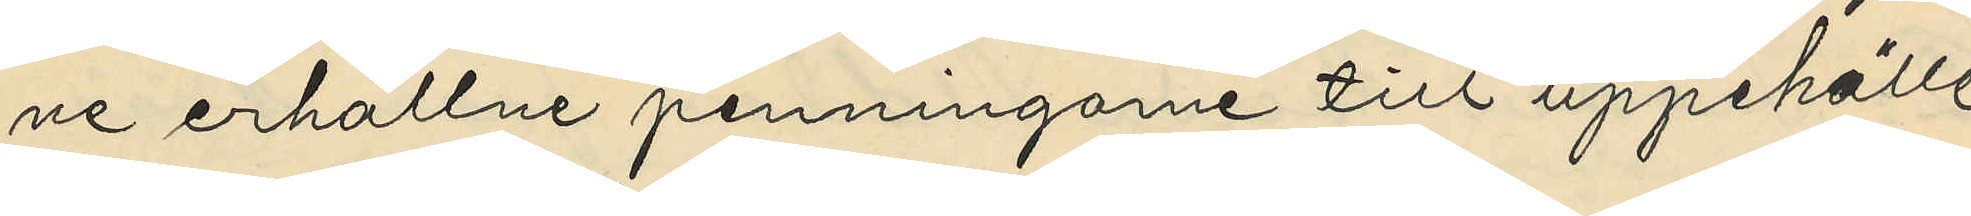ne erhållne penningarne till uppehälle
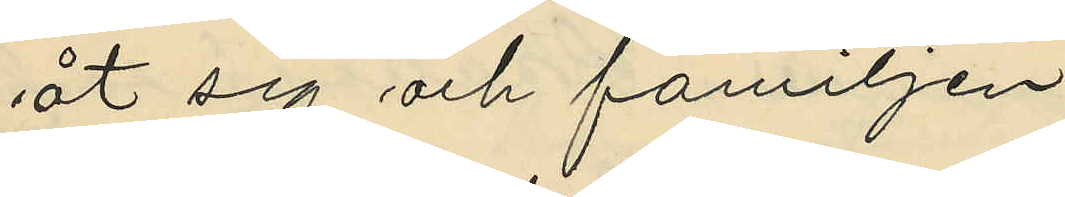åt sig och familjen.
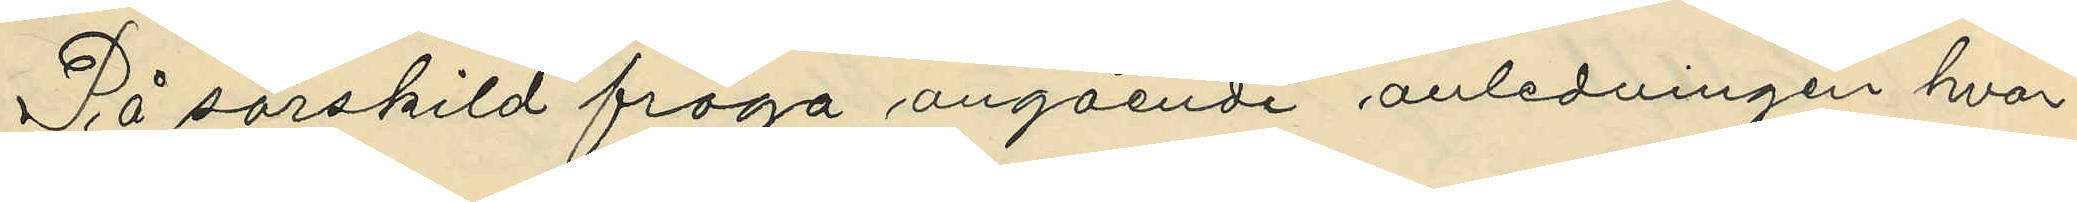På särskild fråga angående anledningen hvar¬
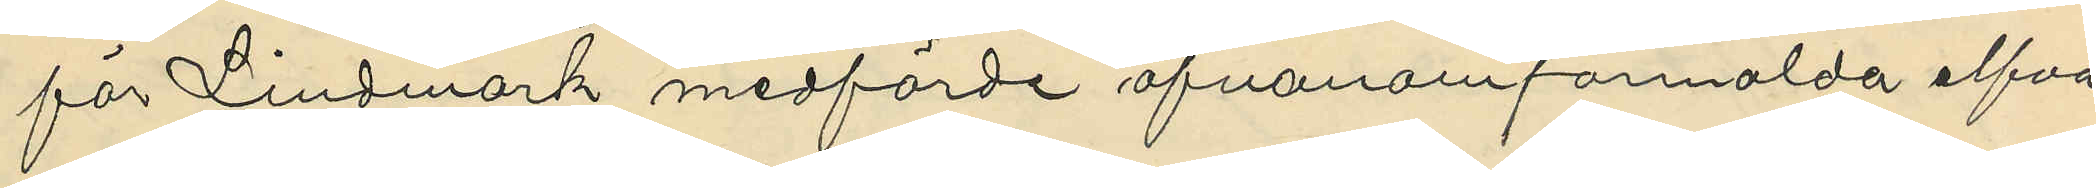för Lindmark medförde ofvanomformalda elfva
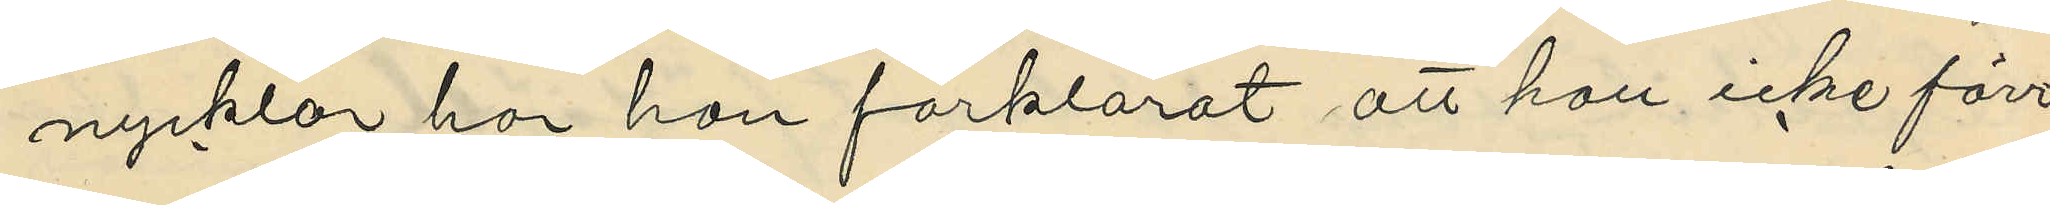nycklar har hon förklarat att hon icke förr
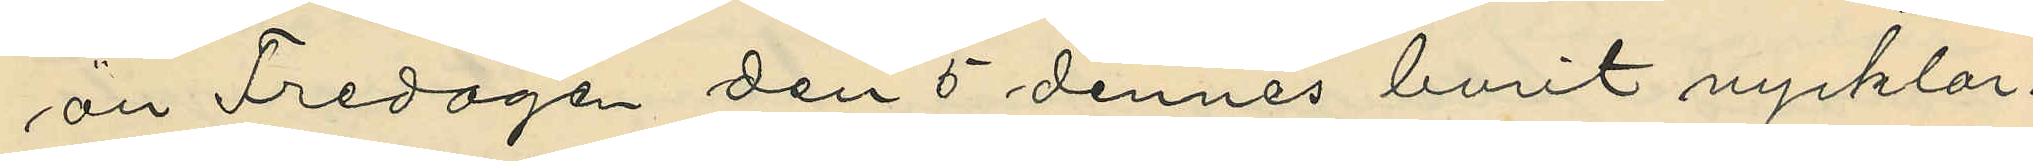än Fredagen den 5 dennes burit nycklar¬
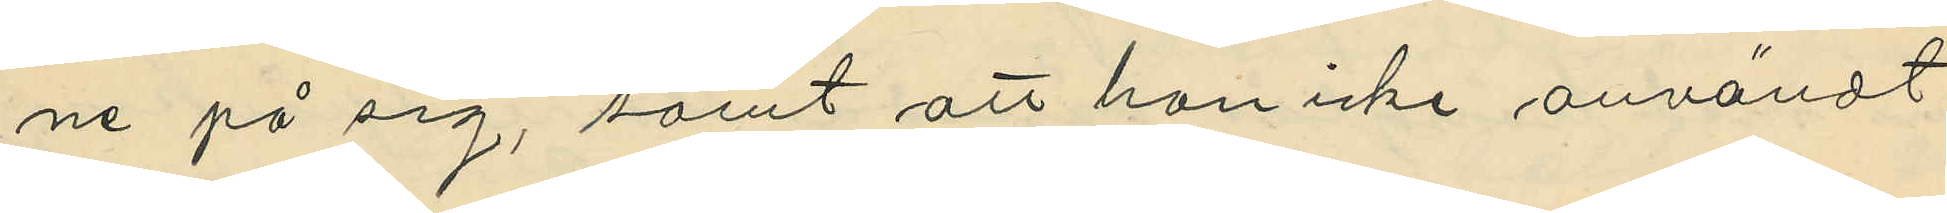ne på sig, samt att hon icke användt
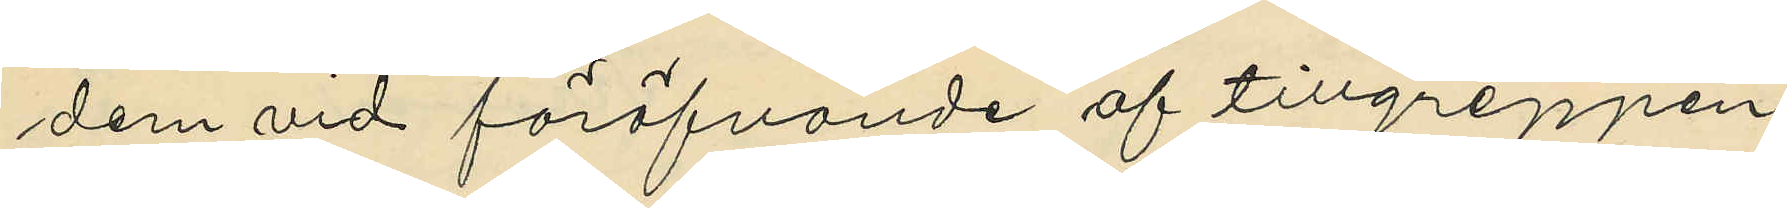dem vid föröfvande af tillgreppen.
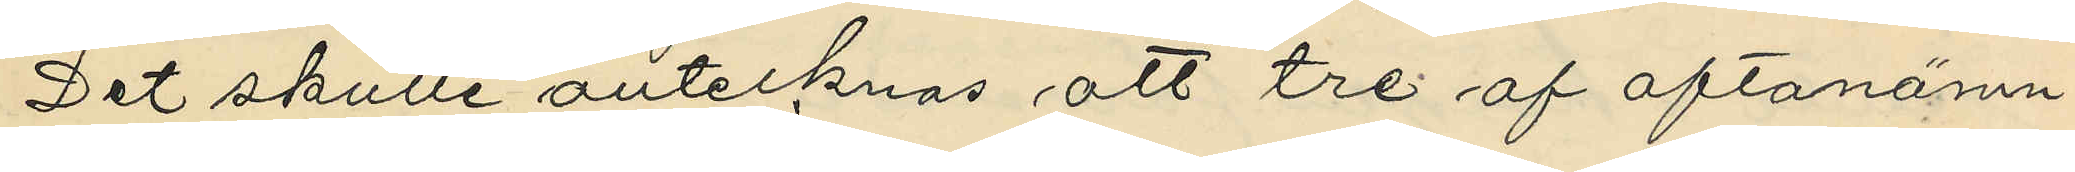Det skulle antecknas att tre af oftanämn¬
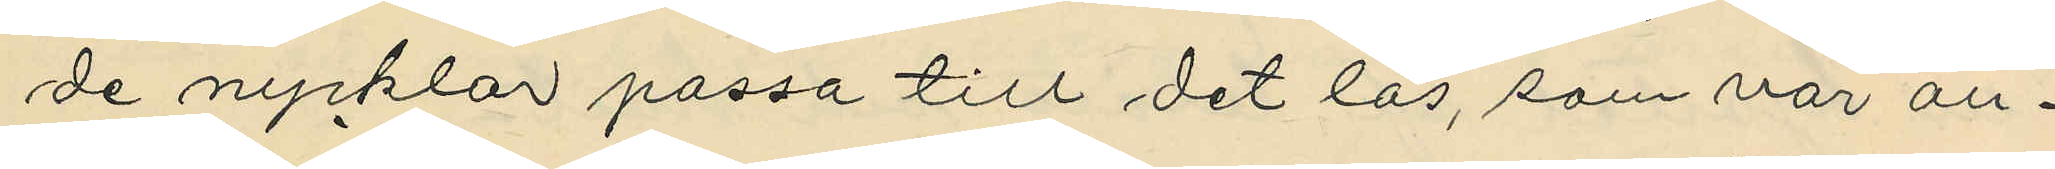de nycklar passa till det lås, som var an¬
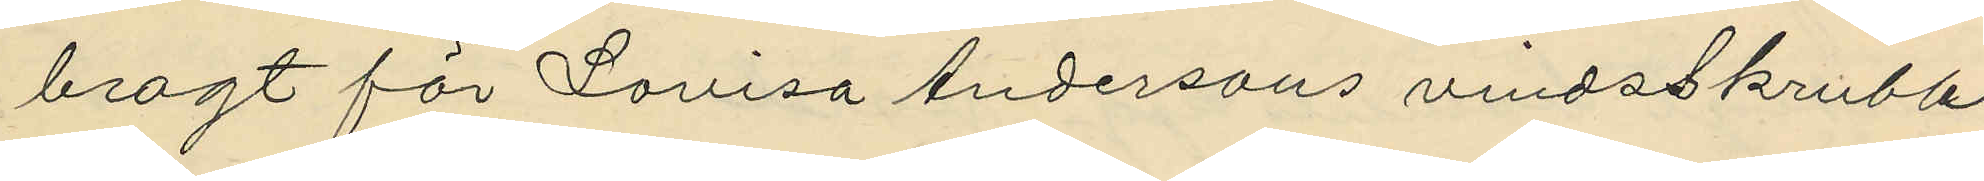bragt för Lovisa Andersons vindsskrubb
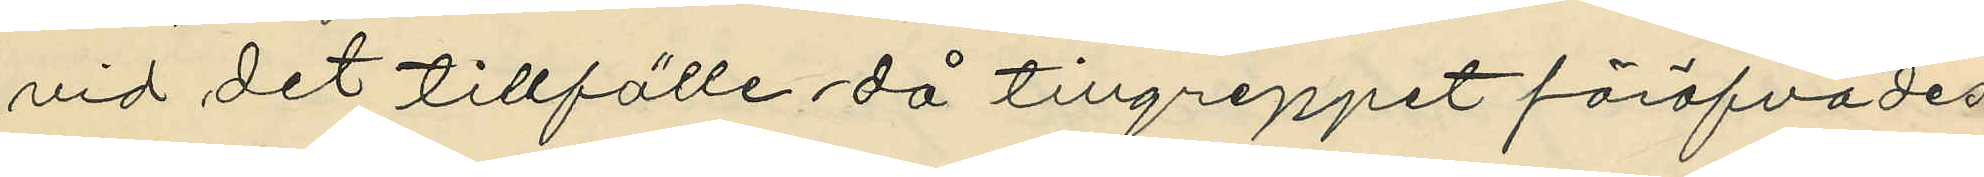vid det tillfälle då tillgreppet föröfvades
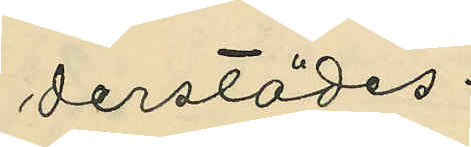derstädes.
